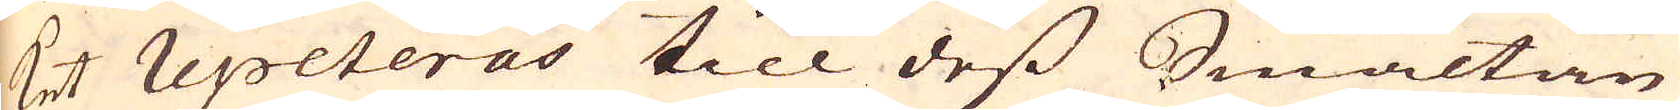ket repeteras till dess Smältan
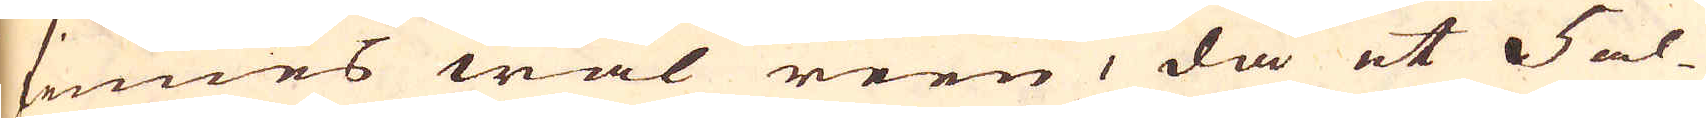finnes wäl reen, då et 5 al-
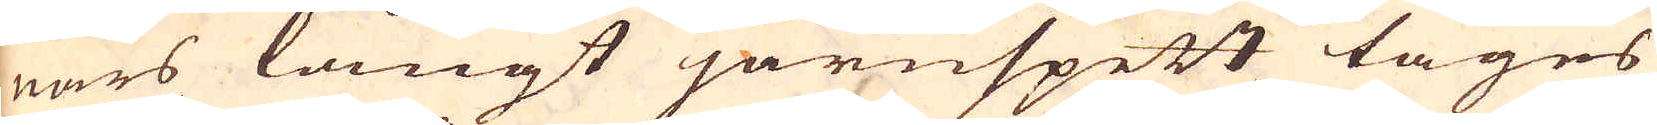nars långt järnspett tages
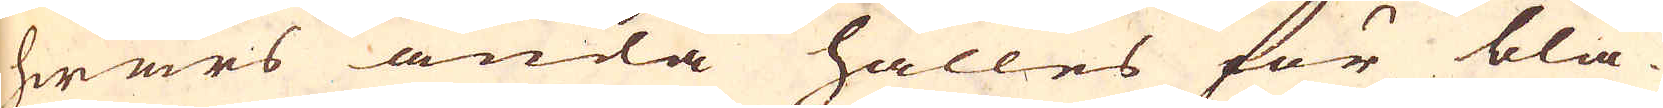hwars ända hålles för blä-
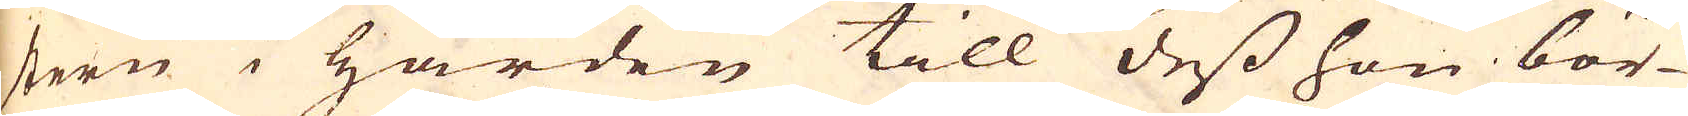stern i härden till dess hon bör-
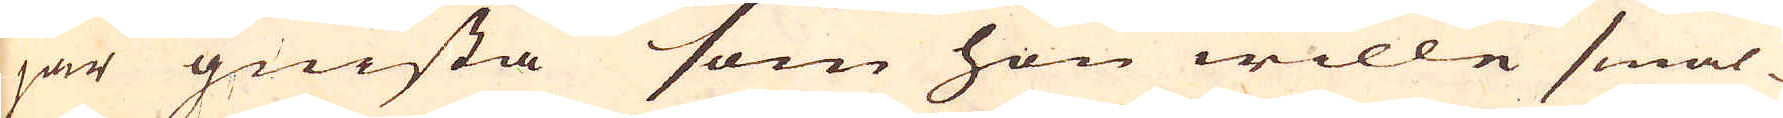jar gnista som hon wille smäl-
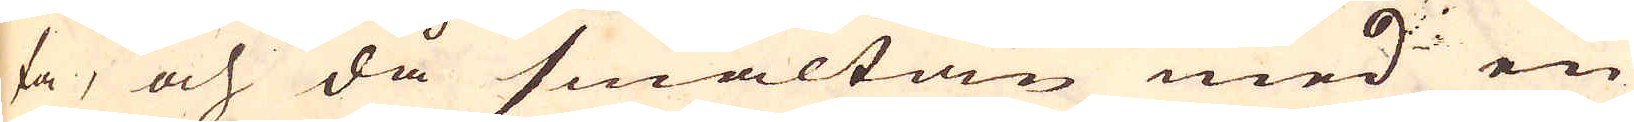ta, och då smältan med en
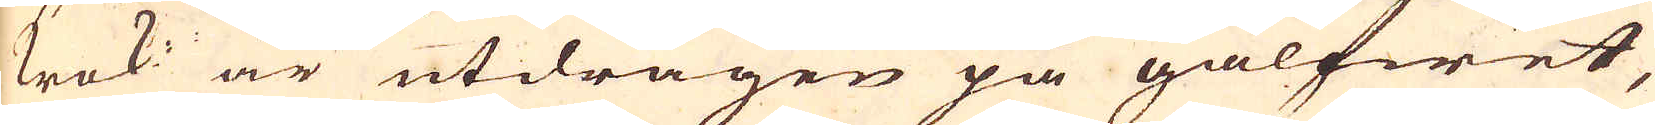krok är utdragen på gålfwet,
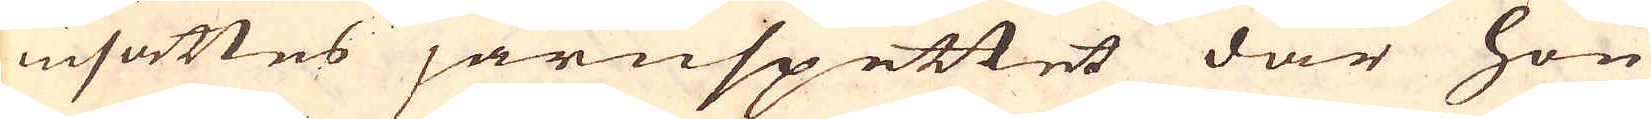insättes järnspettet där hon
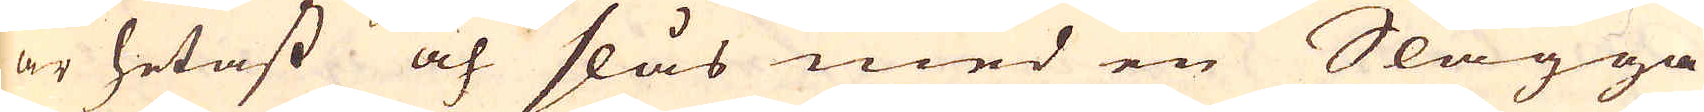är hetast och slås med en Slägga
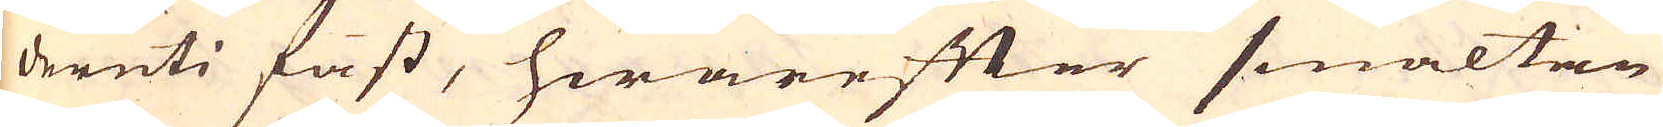deruti fast, hwarefter smältan
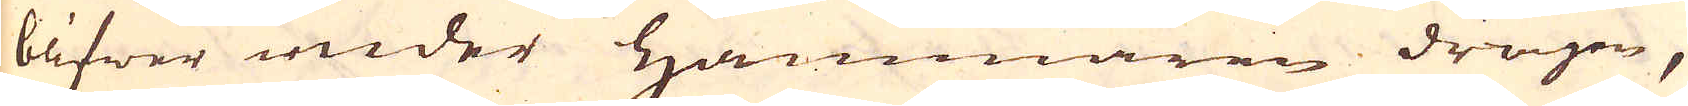blifwer under Hammaren dragen,
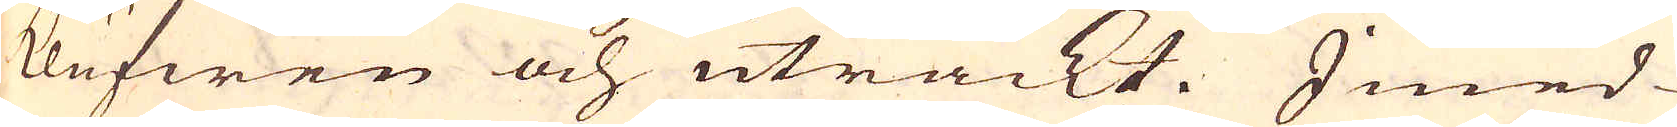klufwen och uträckt. Imed-
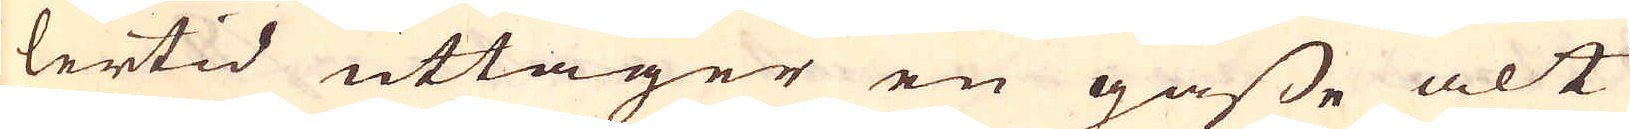lertid uttager en gåsse alt
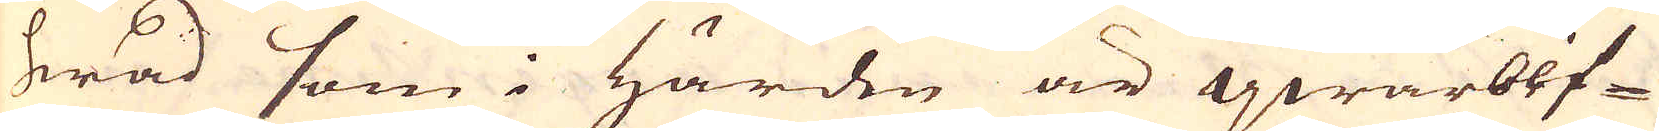hwad som i Härden är qwarblif-
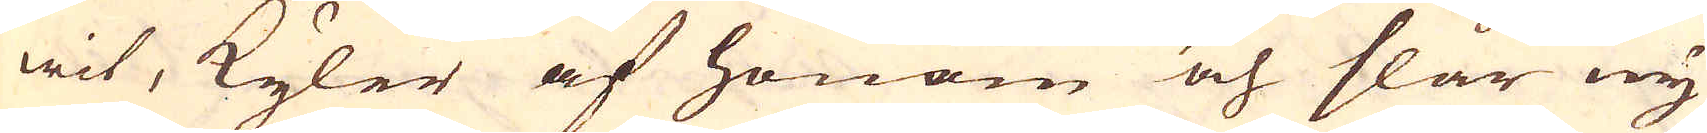wit, kyler af honom och slår ny
